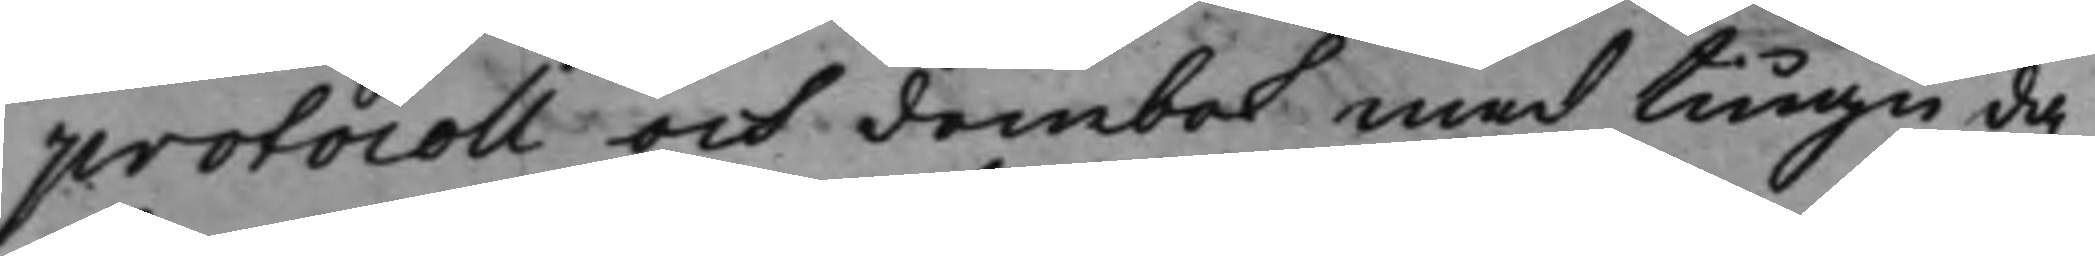protocoll och dombok med tiugu da¬
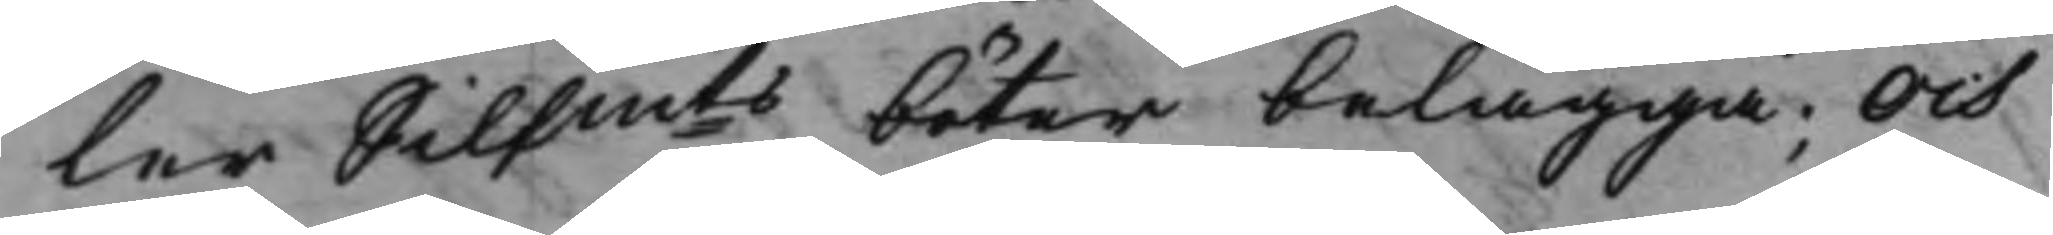ler Silfmts böter belägga; Och
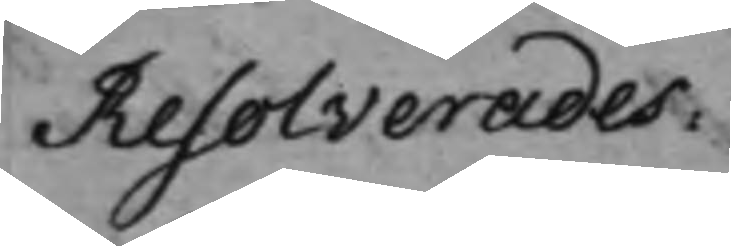Resolverades:
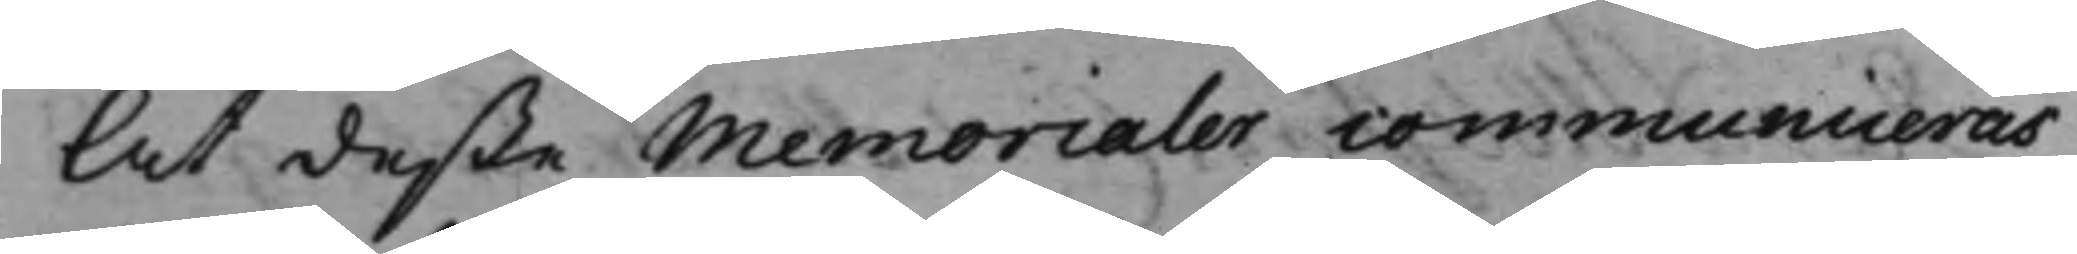At deße Memorialer communiceras,
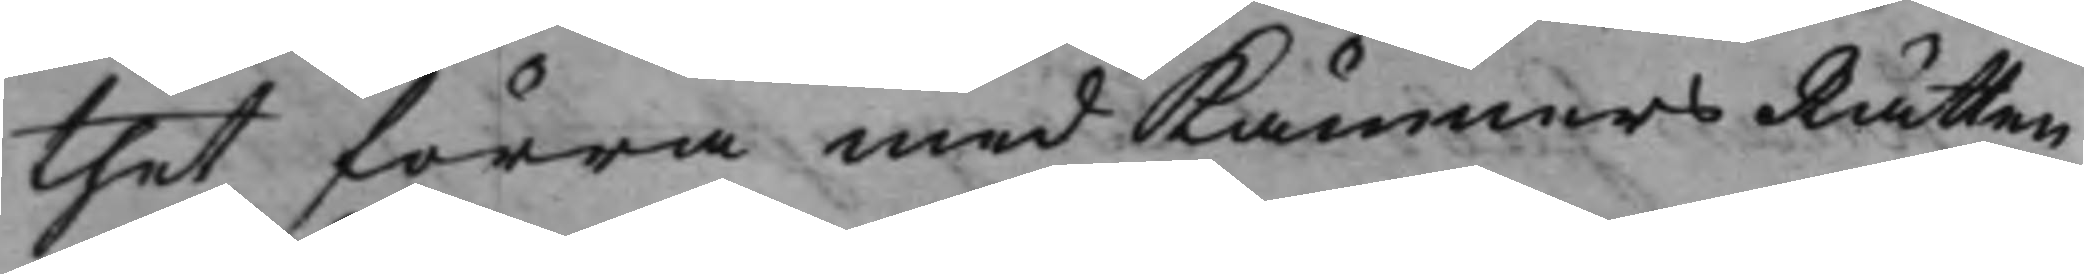thet förra med KämnersRätten
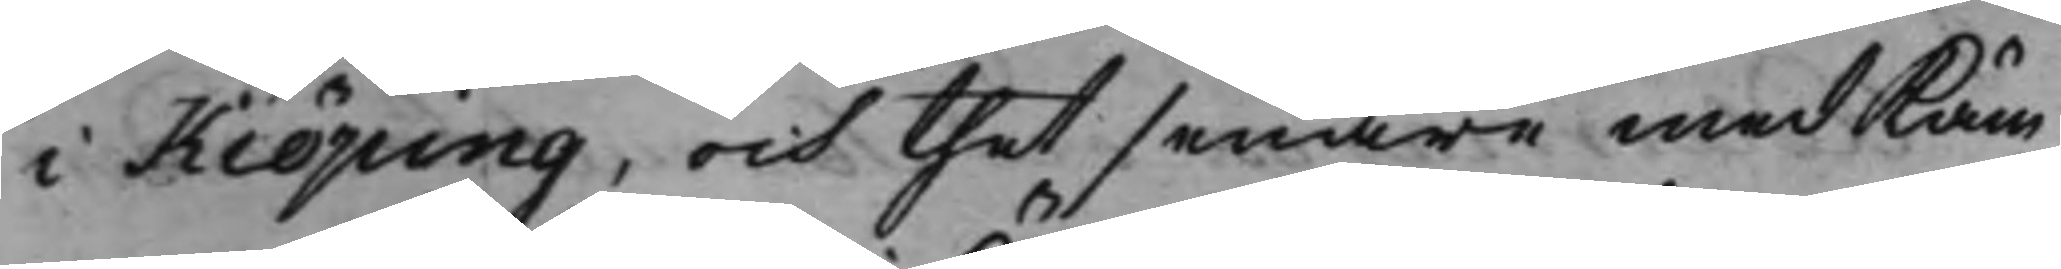i Kiöping, och thet senare med Käm¬
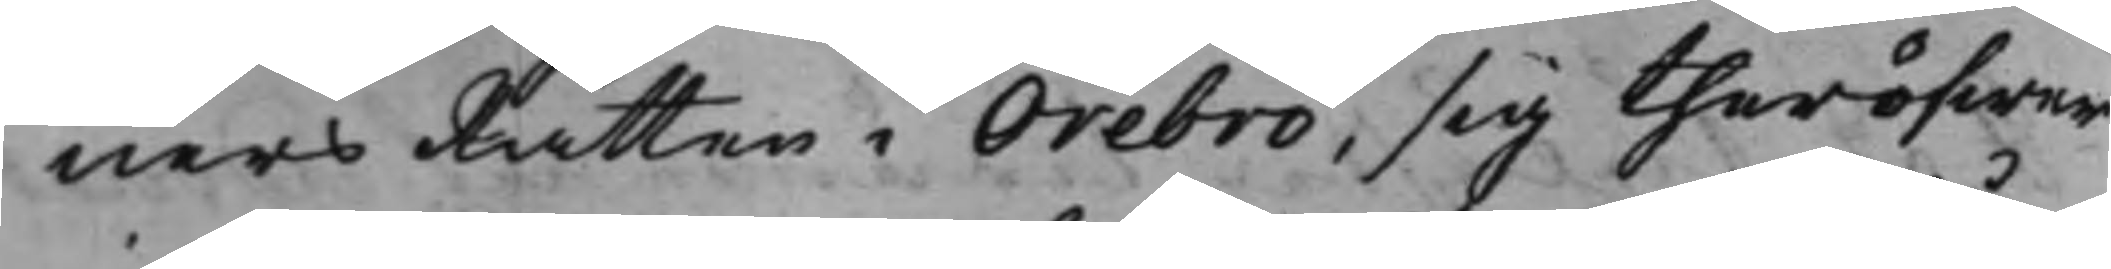nersRätten i Örebro, sig theröfwer
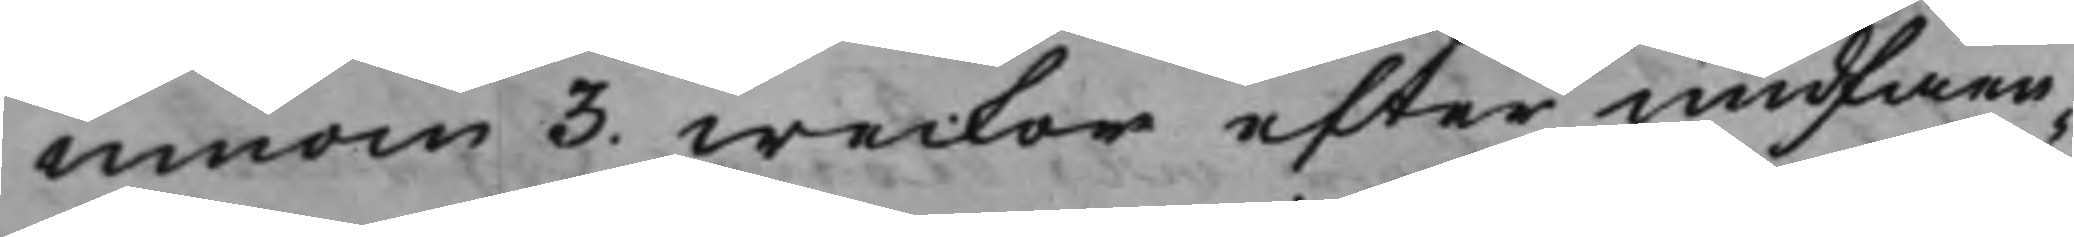innom 3. weckor efter undfåen¬
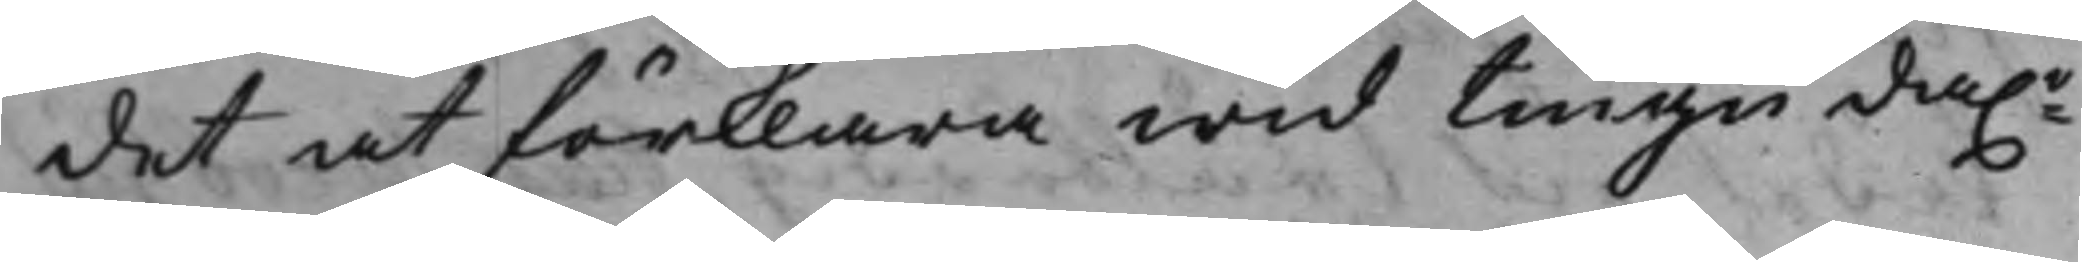det at förklara wid tiugu da.r
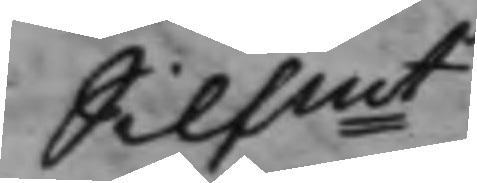Silfmt.
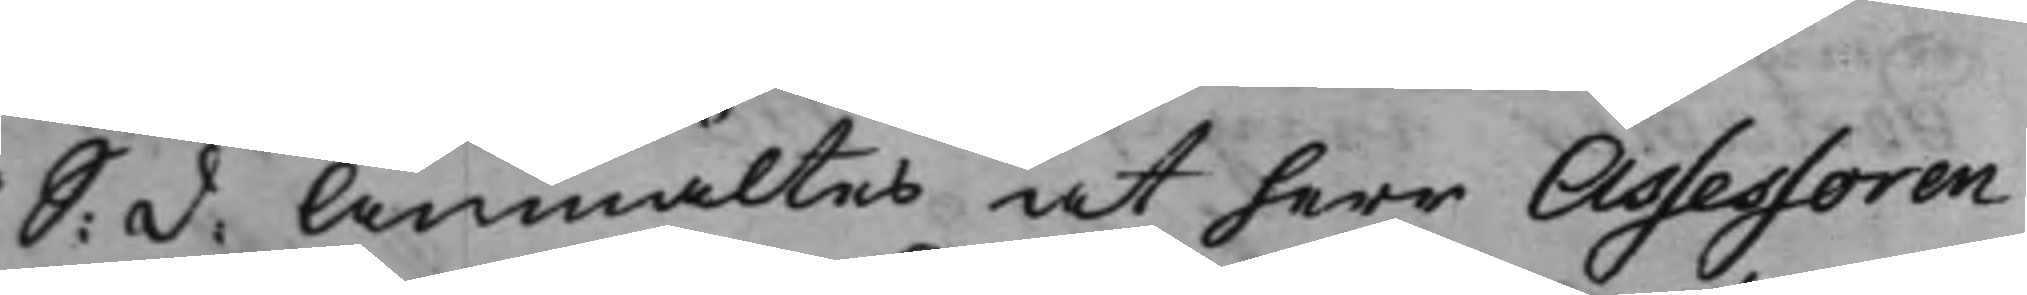S: d: Anmältes at herr Assessoren
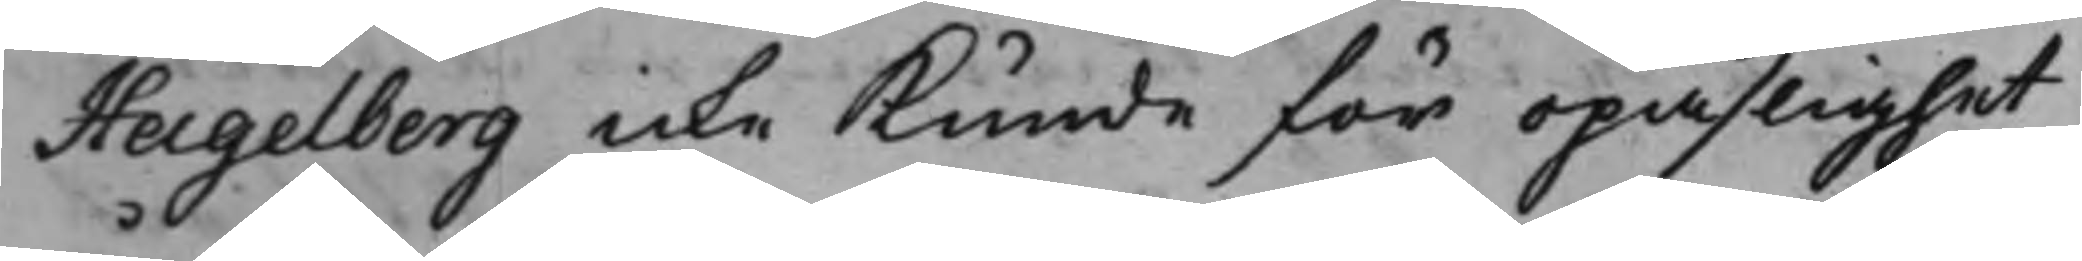Hagelberg icke Kunde för opaslighet
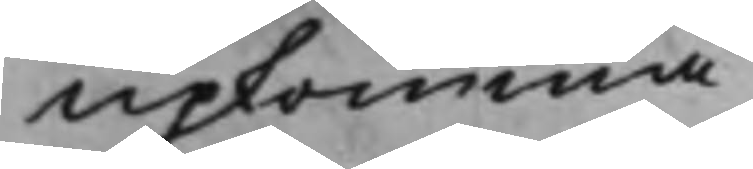upkomma.
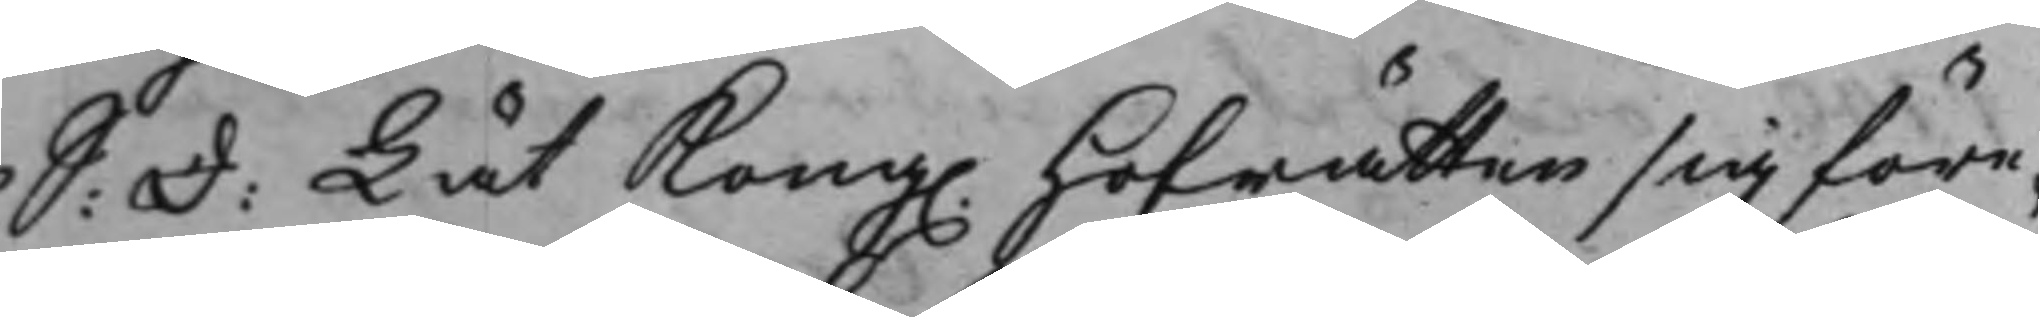S: D: Lät Kong. Hofrätten sig före¬
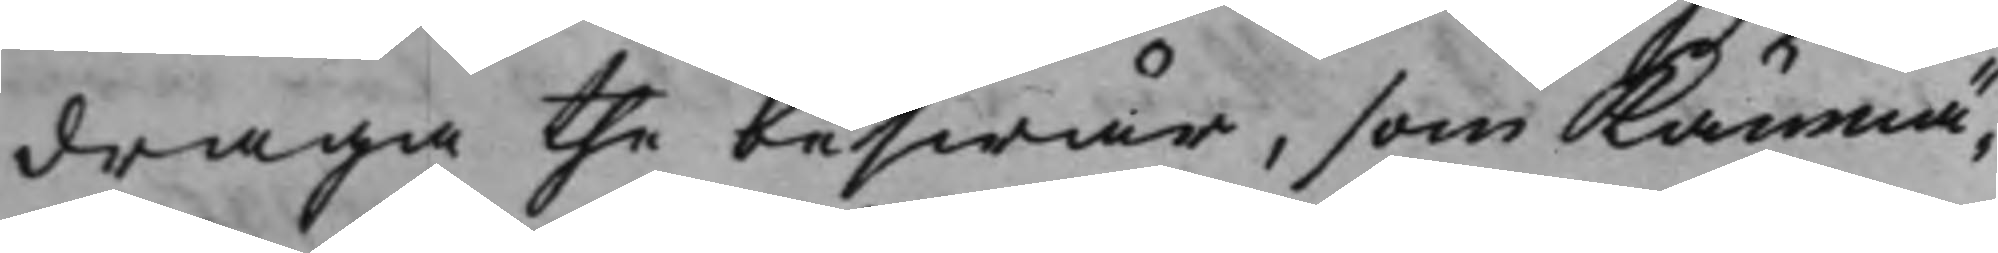draga the beswär, som Kämnä¬
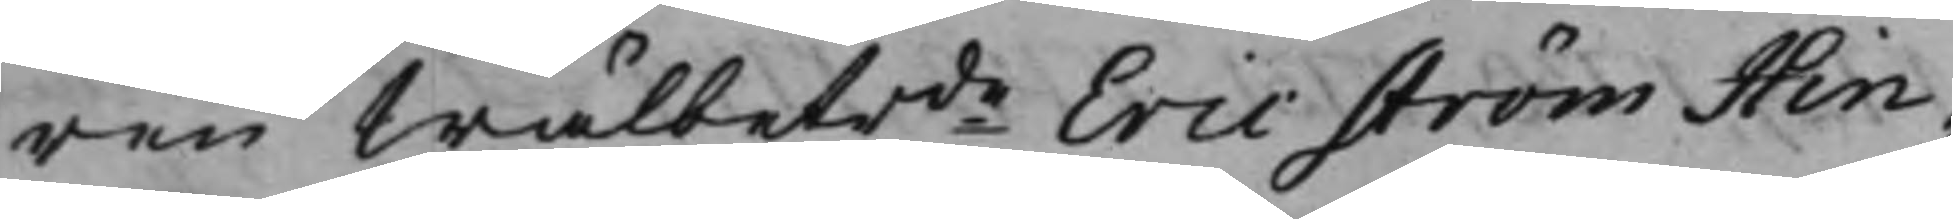ren Wälbetrde Eric Ström Hin¬
